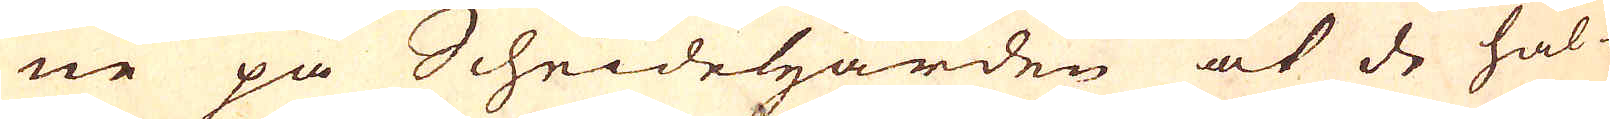ne på Scheidehärden at de hål-
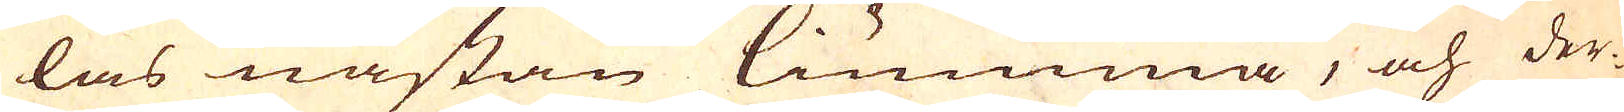las nästan liumma, och der-
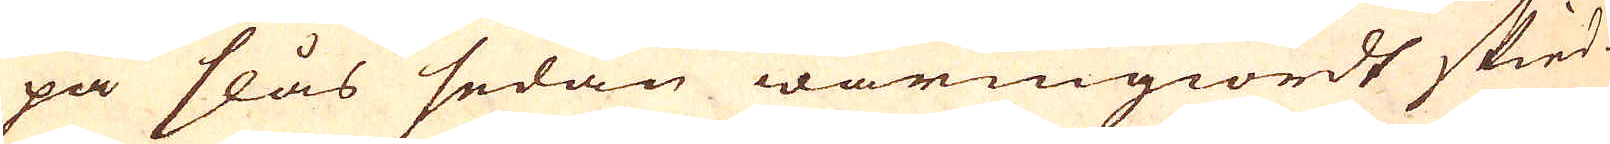på slås sedan warmgiordt skied-
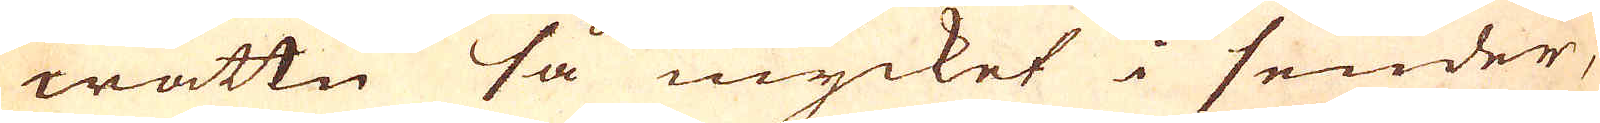wattn så mycket i sender,
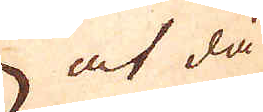at då
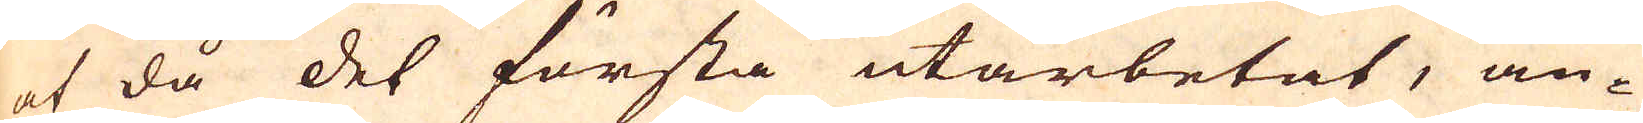af då det första utarbetat, an-
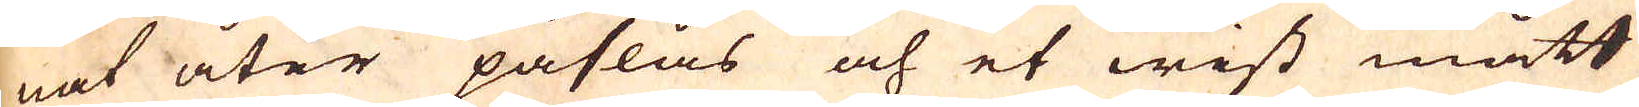nat åter påslås och et wist mått
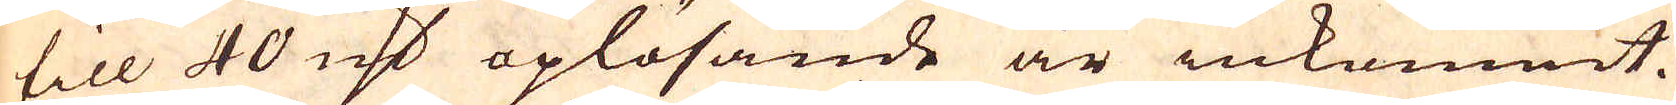till 40 marker oplösande är inkommit.
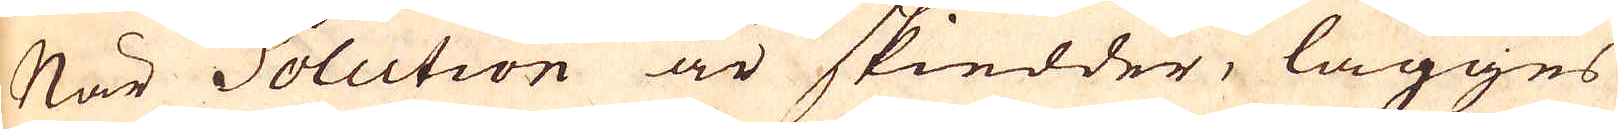När Solution är skiedder, lägges
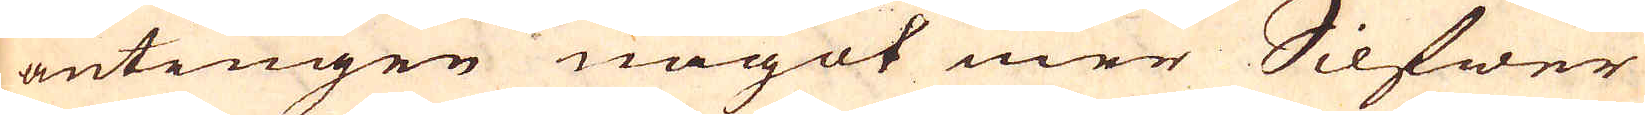antingen något mer Silfwer
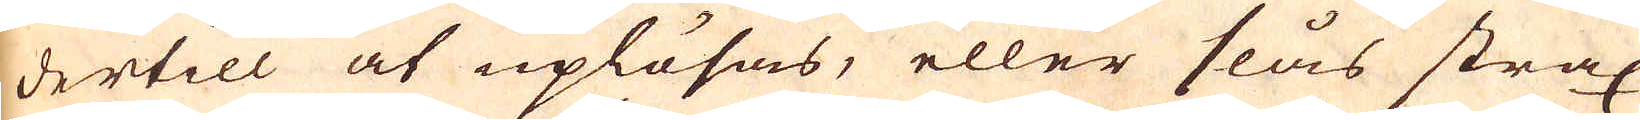dertill at uplösas, eller slås strax
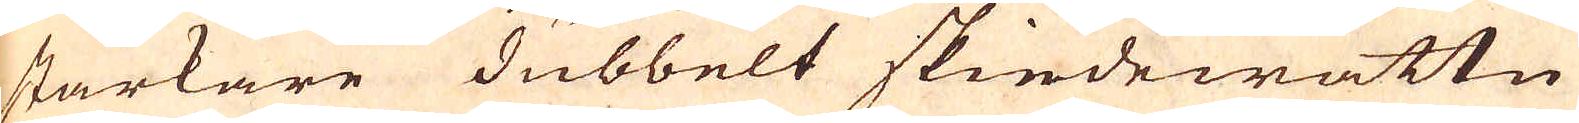starkare dubbelt skiedewattn
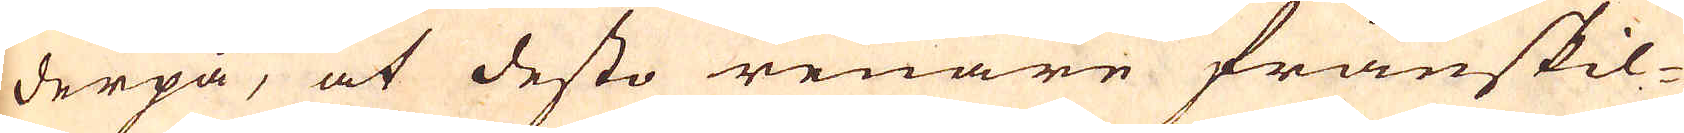derpå, at desto renare frånskil-
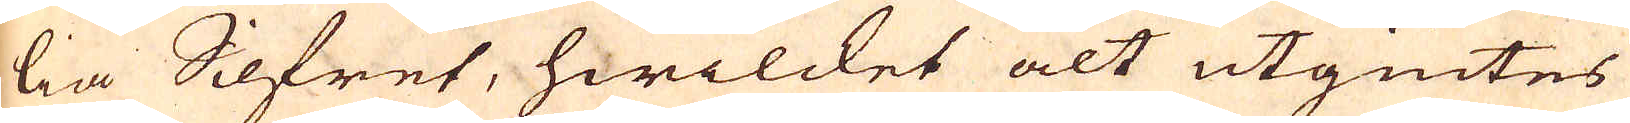lia Silfret, hwilcket alt utgiutes
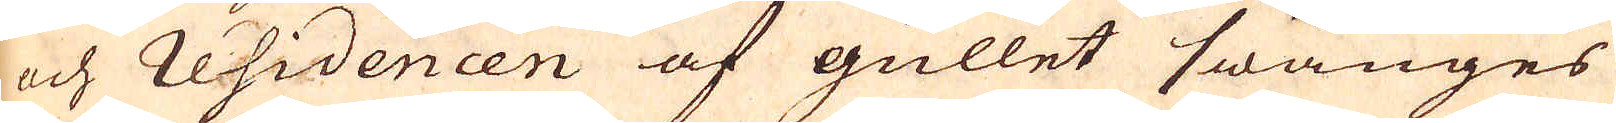och residencen af gullet swänges
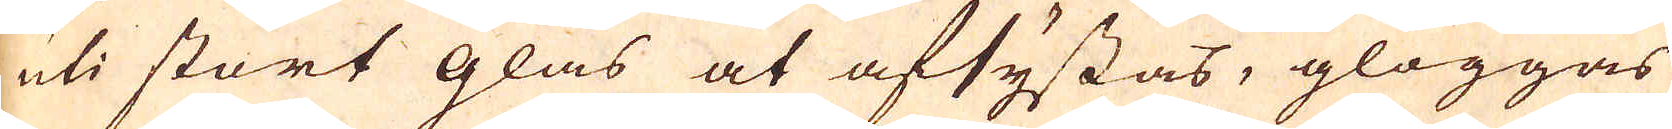uti stort glas at afsystas, glöggas
